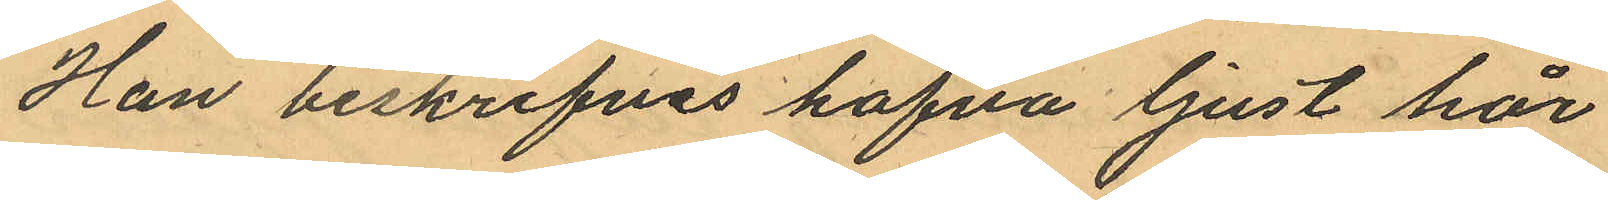Han beskrifvas hafva ljust hår
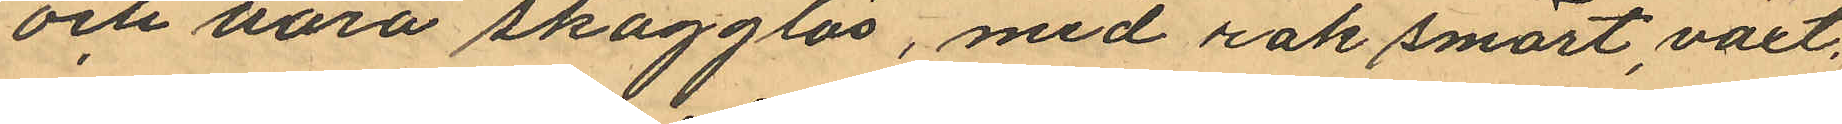och vara skägglös, med rak smärt, växt,
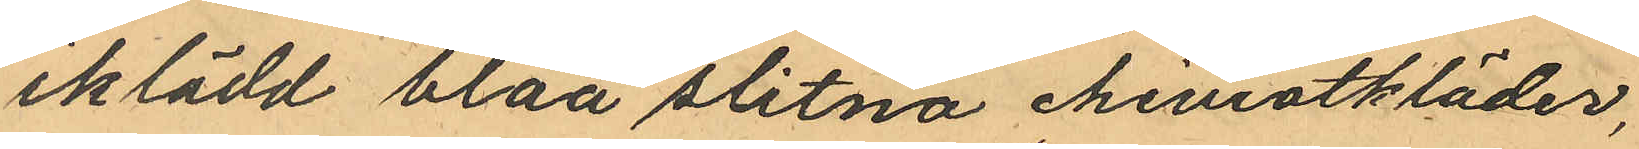iklädd blåa slitna cheviotkläder,
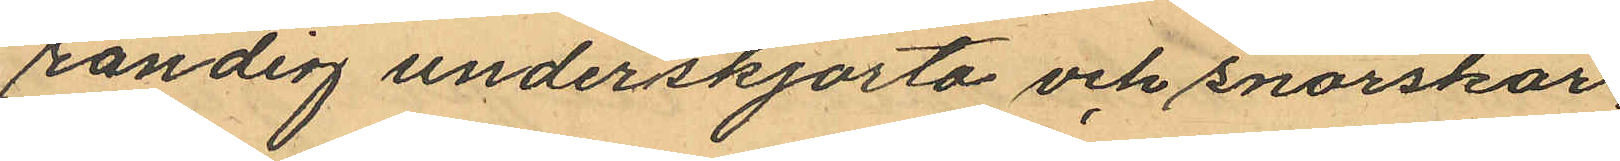randig underskjorta och snörskor.
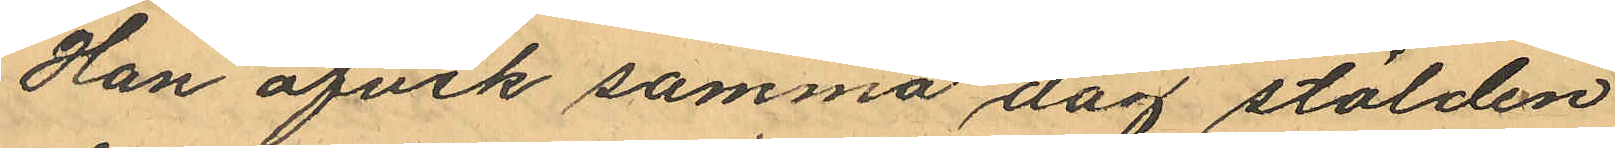Han afvek samma dag stölden
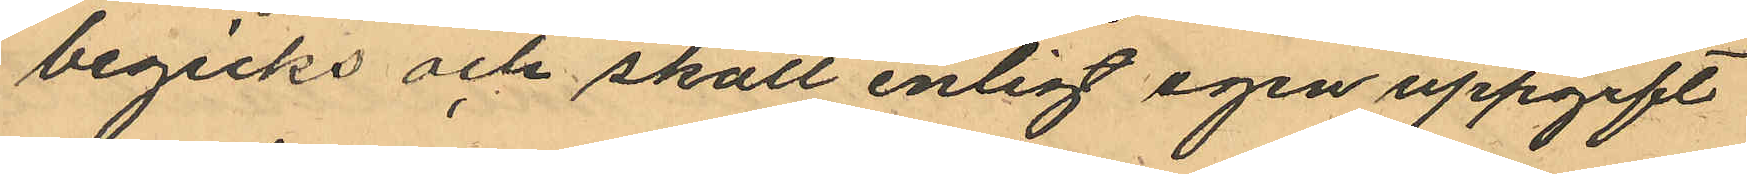begicks och skall enligt egen uppgift
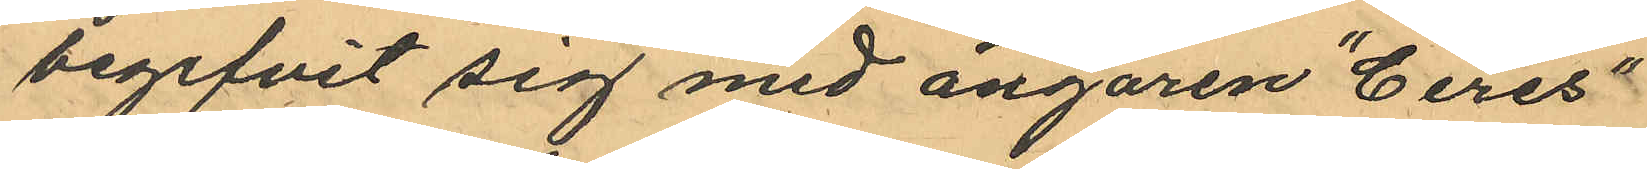begifvit sig med ångaren "Ceres"
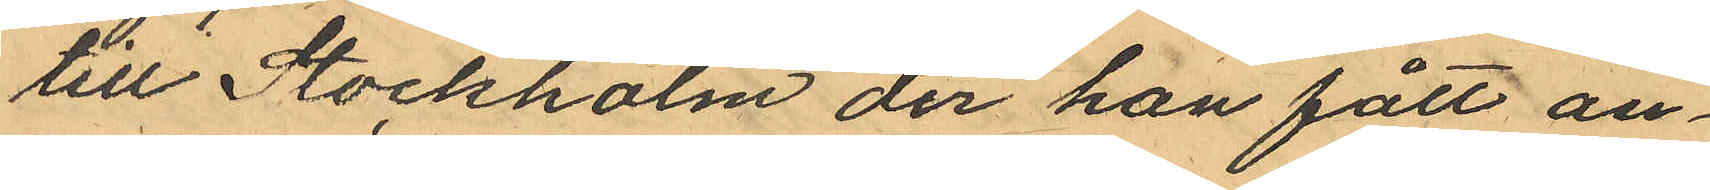till Stockholm der han fått an¬
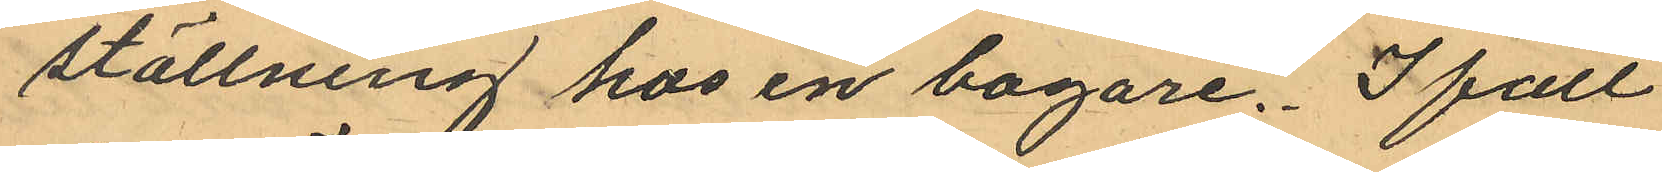ställning hos en bagare. Ifall
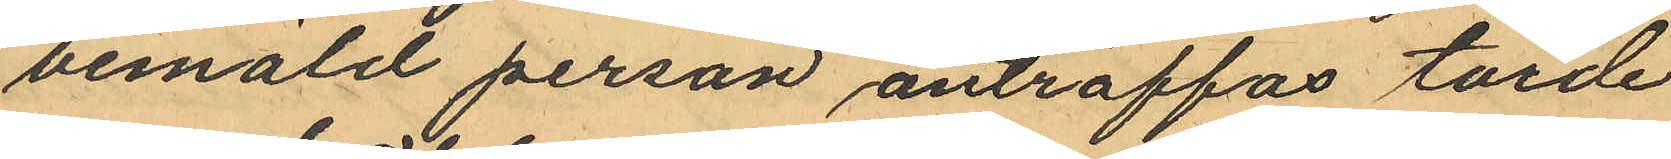bemäld person anträffas torde
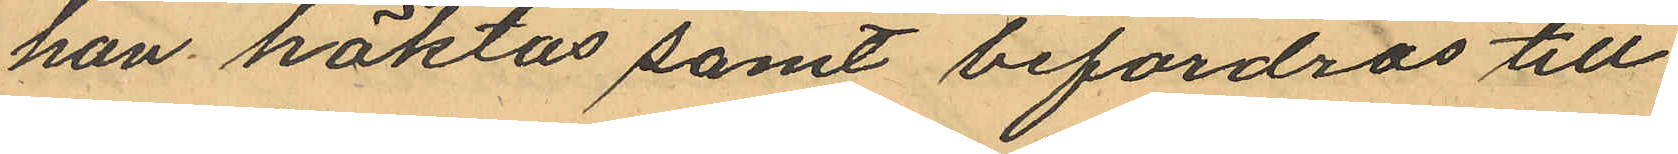han häktas samt befordras till
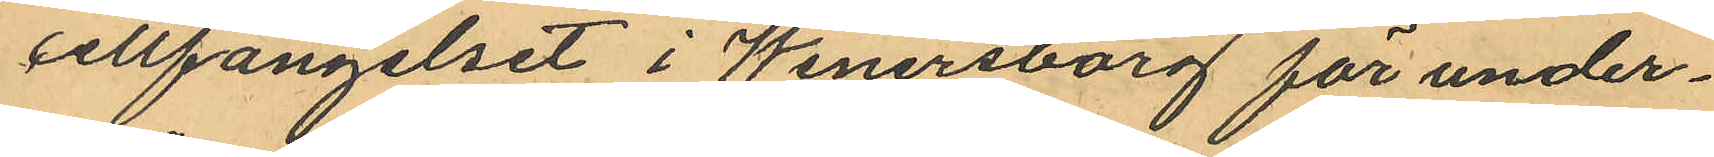cellfängelset i Wenersborg för under¬
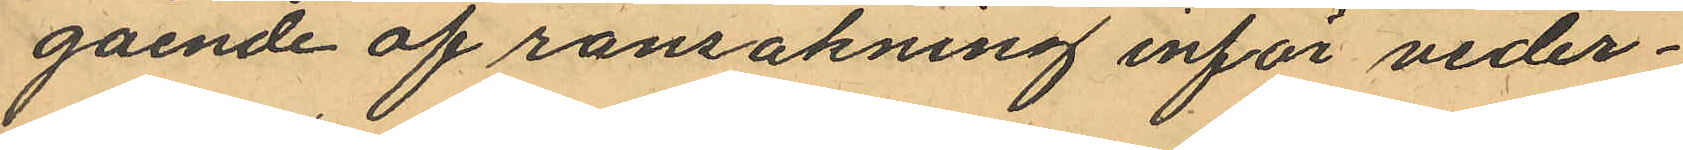gående af ransakning inför veder¬
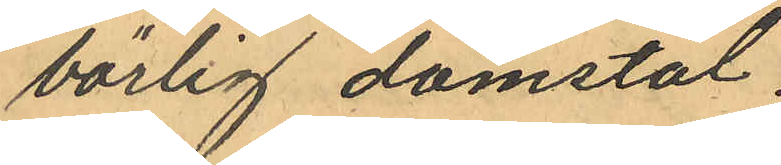börlig domstol.
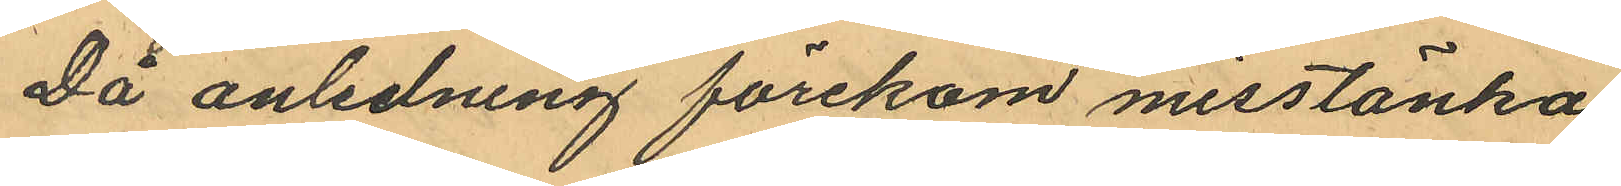Då anledning förekom misstänka
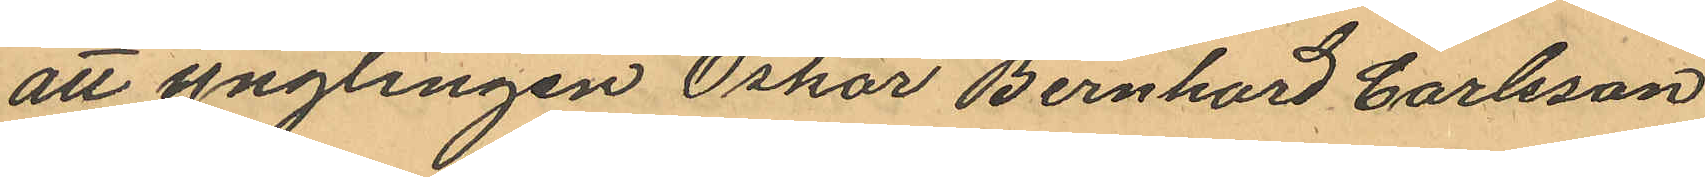att ynglingen Oskar Bernhard Carlsson
